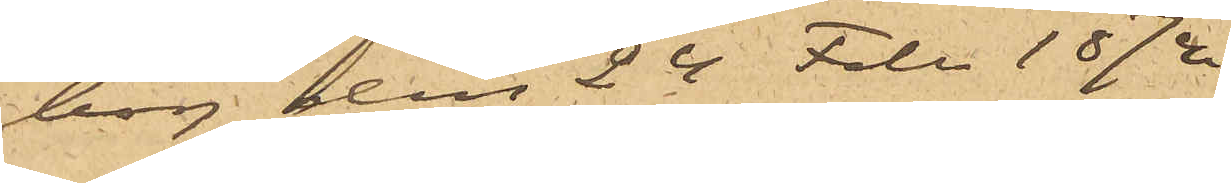borg den 24 Febr 1874.
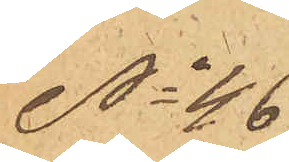No 46
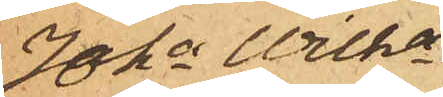Joha Wilha
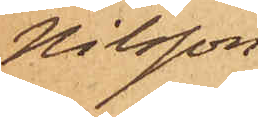Nilsson
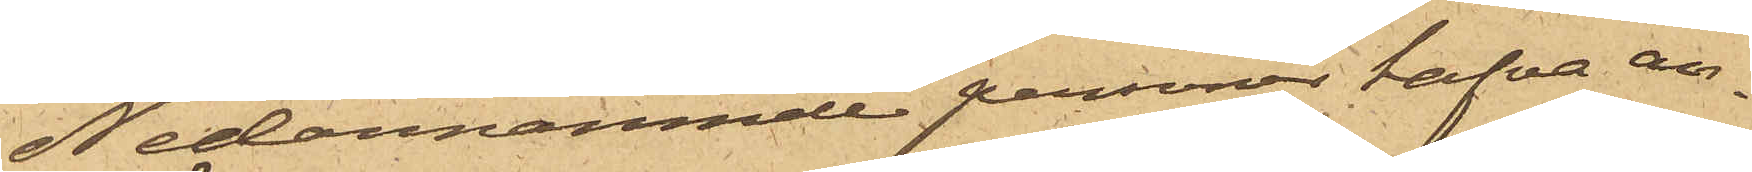Nedannämnde personer hafva an¬
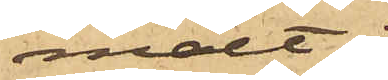mält:
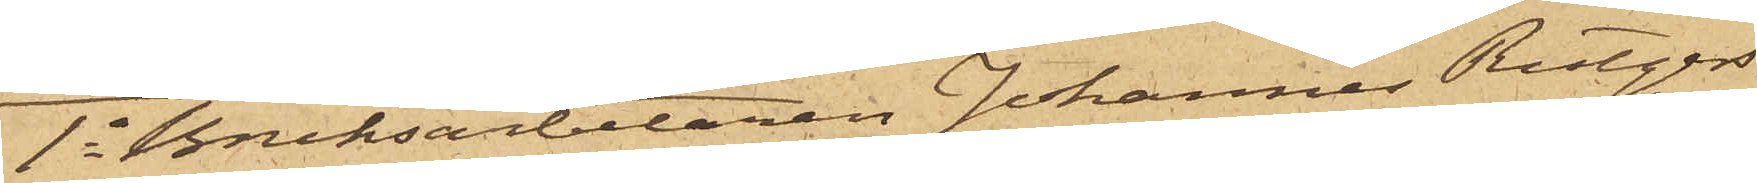1o Bruksarbetaren Johannes Rutgers¬
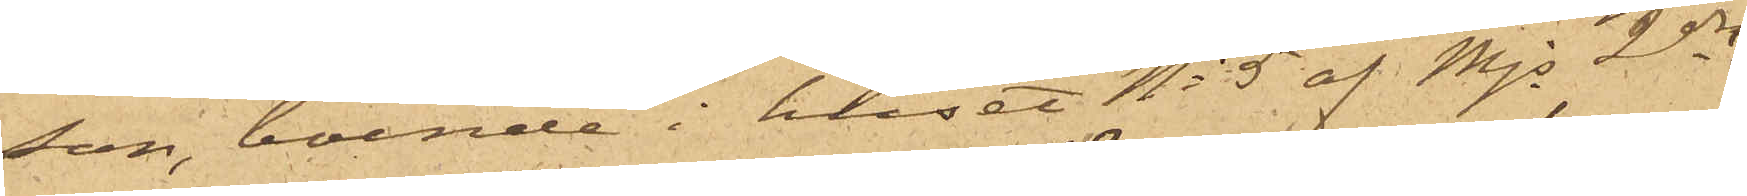son, boende i huset No 5 af Majs 2dre
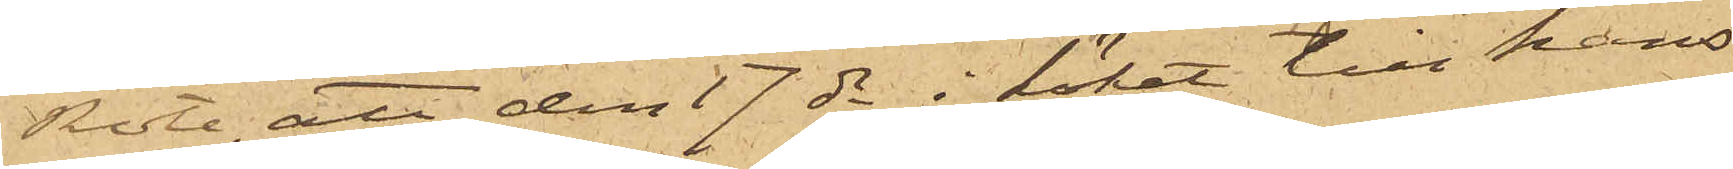Rote, att den 17 ds i köket till hans
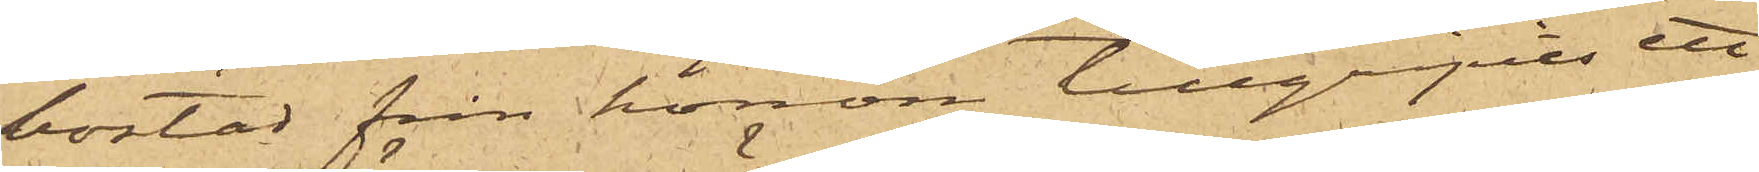bostad från honom tillgripits ett
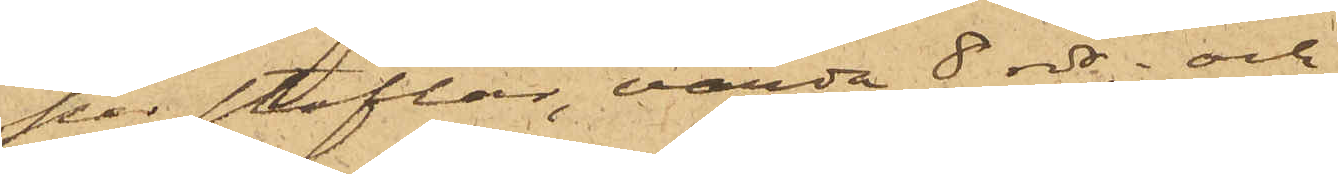par stöflor, värda 8 rdr; och
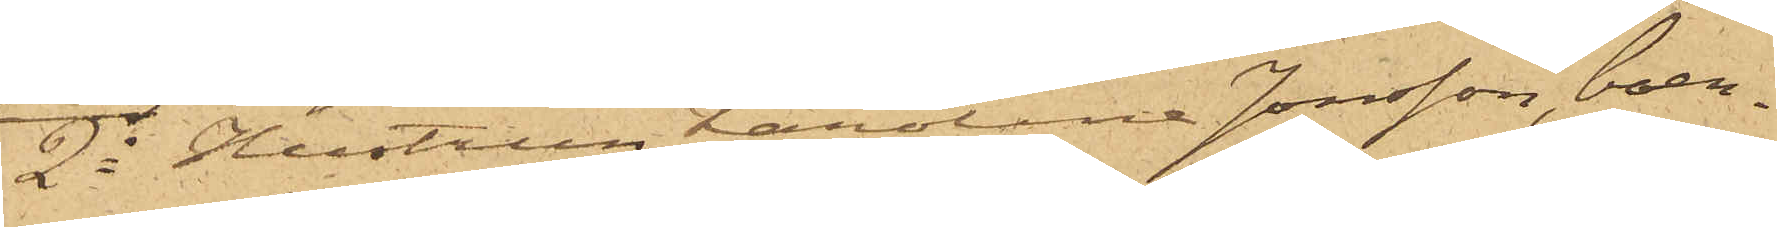2o Hustrun Karolina Jonsson, boen¬
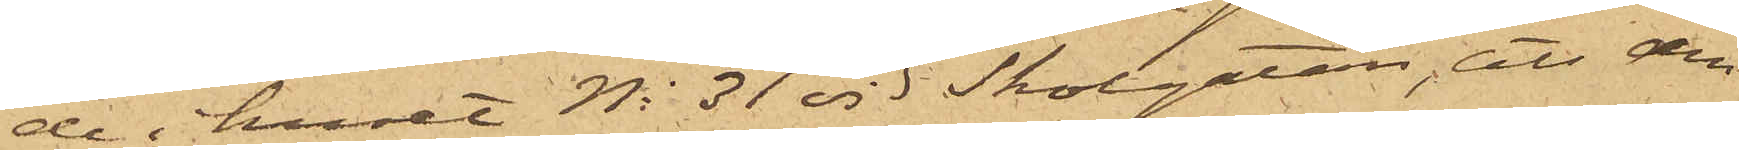de i huset No 31 vid Skolgatan, att den
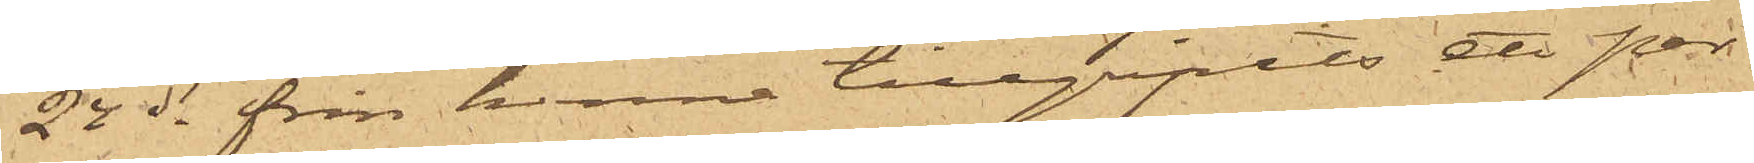24 ds från henne tillgripits ett par
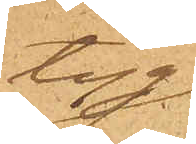tyg¬
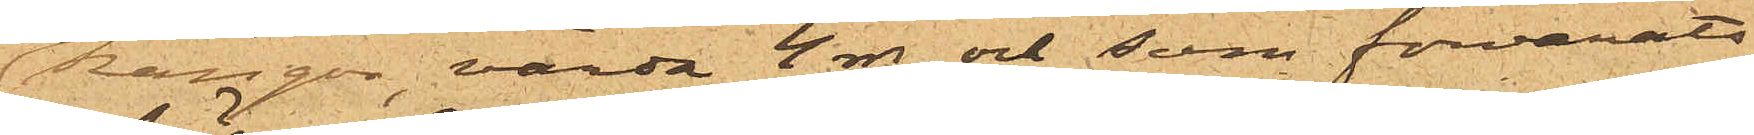kängor, värda 4 rdr och som förvarats
